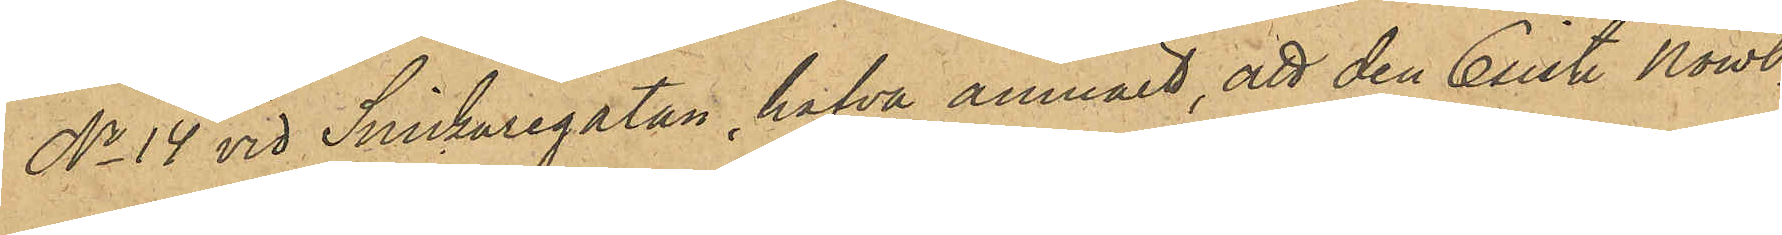No 14 vid Snickaregatan, hafva anmält, att den 6 sist. Nowbr
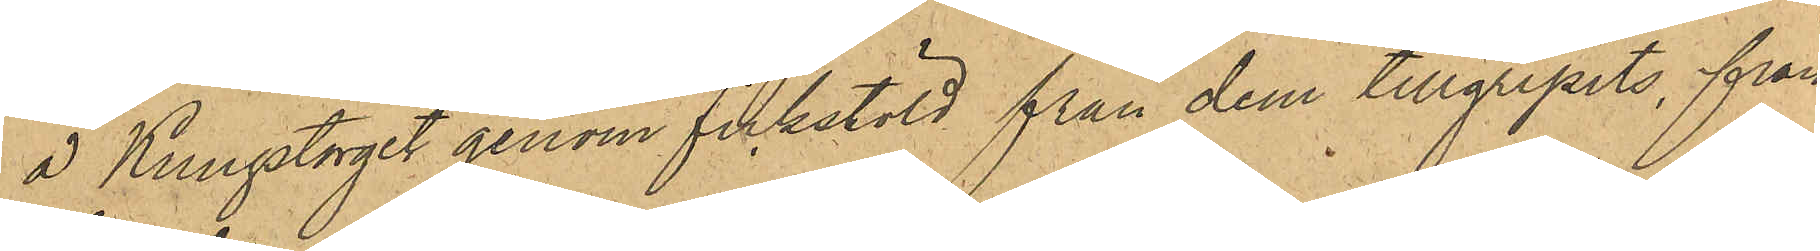å Kungstorget genom fickstöld från dem tillgripits, från
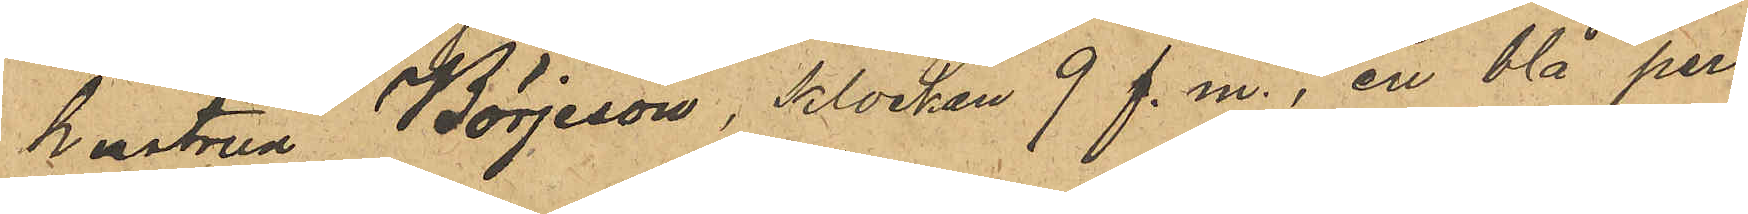hustrun Börjeson, klocken 9 f. m., en blå perl¬
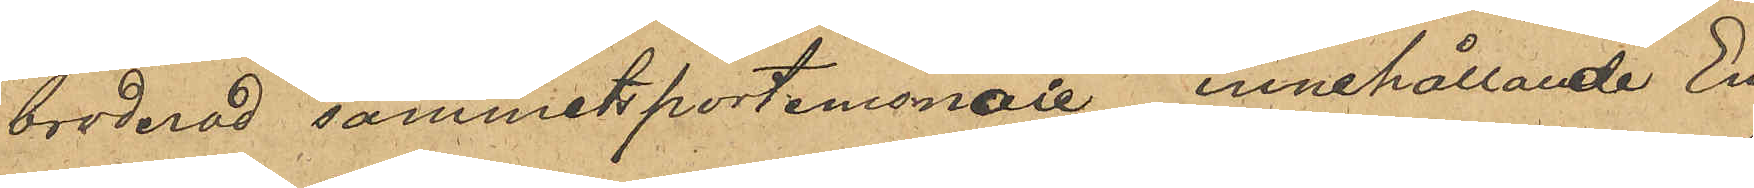broderad sammetsportemonaie innehållande En
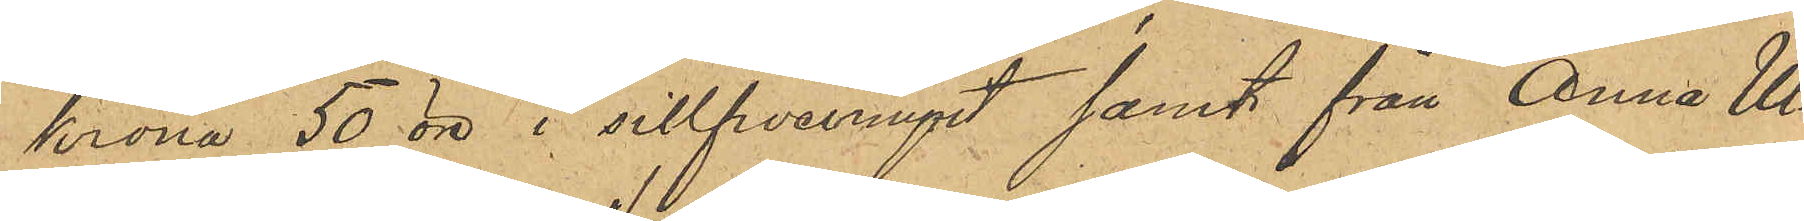krona 50 öre i sillfvermynt samt från Anna Ul¬
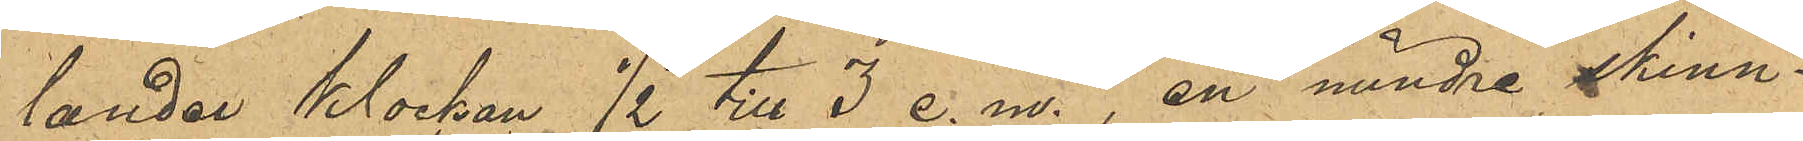lander klockan 1/2 till 3 e. m., en mindre skinn¬
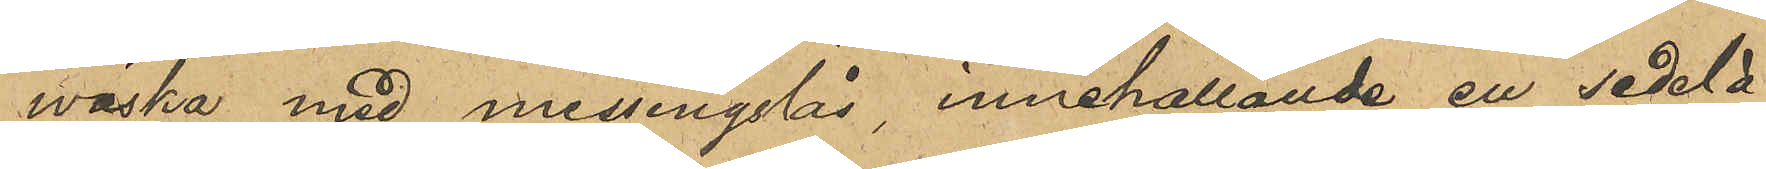wäska med messingslås, innehållande en sedel å
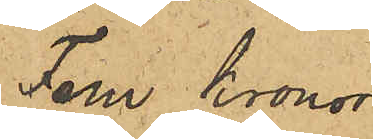Fem Kronor.
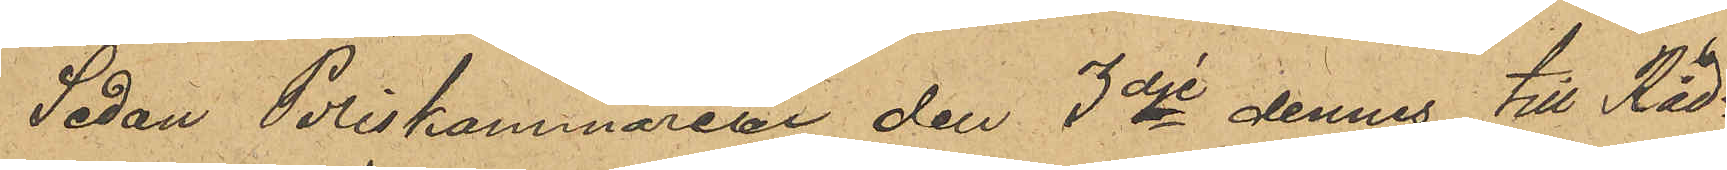Sedan Poliskammaren den 3dje dennes till Råd¬
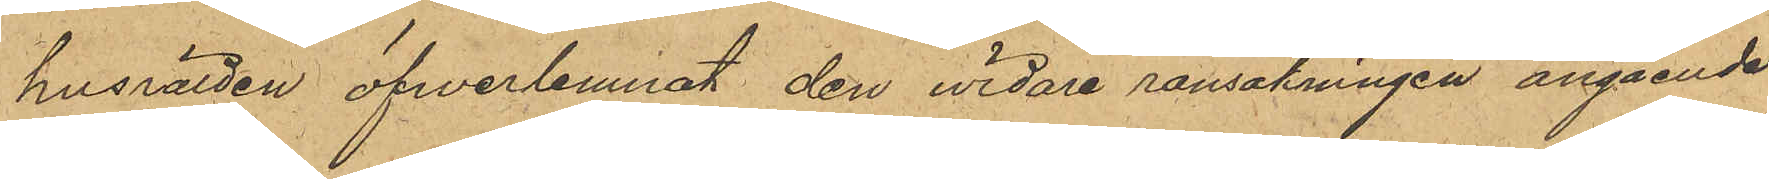husrätten öfverlemnat den vidare ransakningen angående
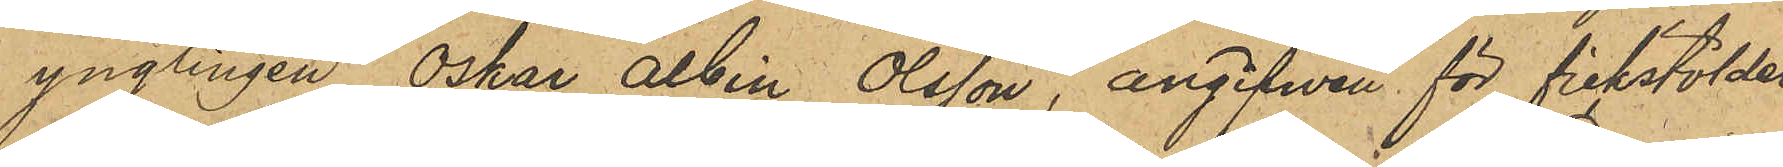ynglingen Oskar Albin Olsson, angifwen för fickstölder
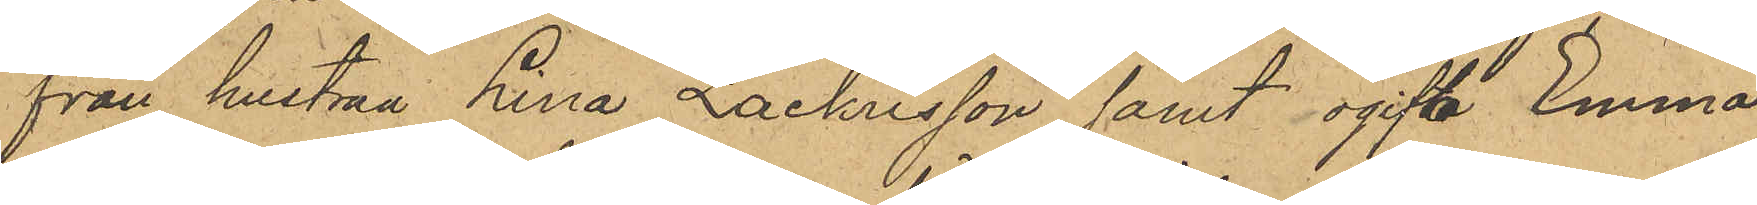från hustru Lina Zachrisson samt ogifta Emma
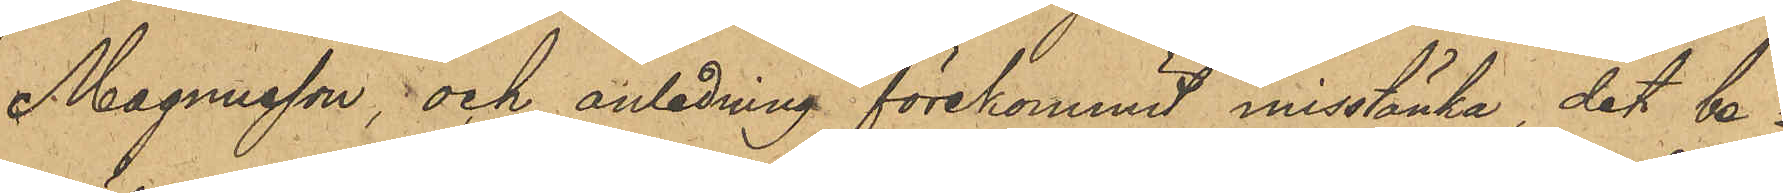Magnusson; och anledning förekommit misstänka, det be¬
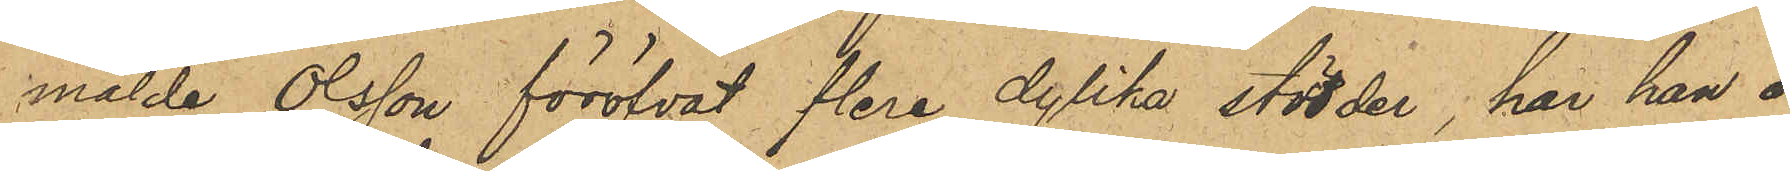mälde Olsson föröfvat flera dylika stölder, har han å
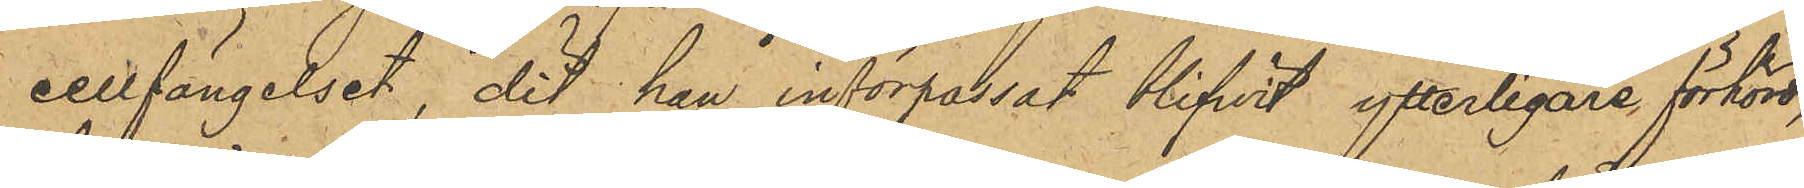cellfängelset, dit han införpassat blifwit ytterligare förhörd,
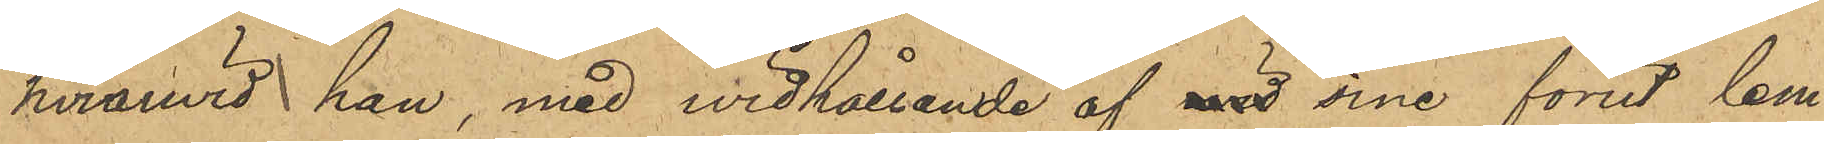hvarwid han, med vidhållande af vid sine förut lem¬
